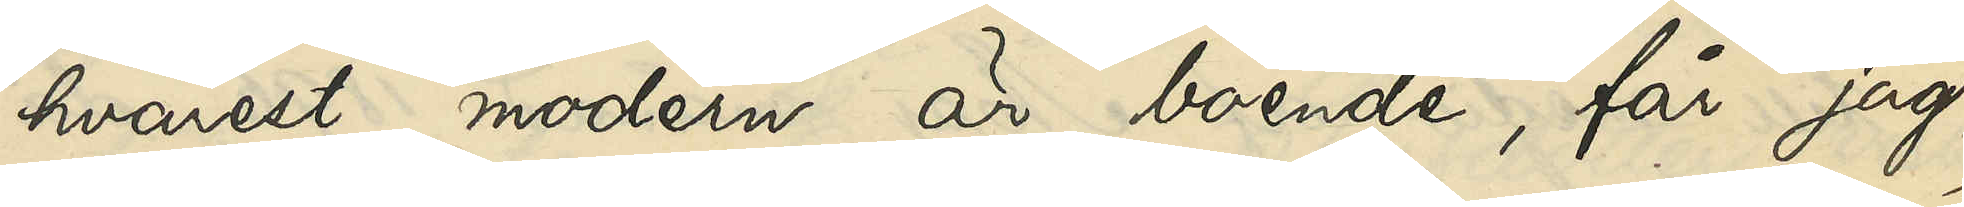hvarest modern är boende, får jag,
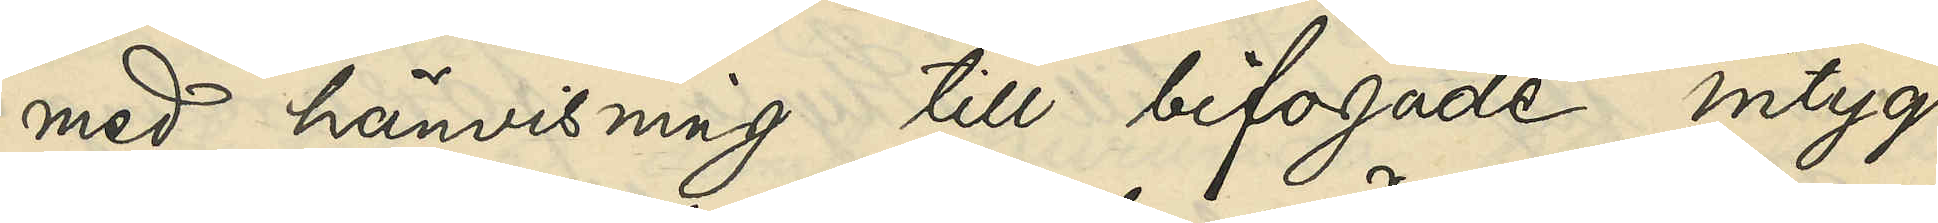med hänvisning till bifogade intyg
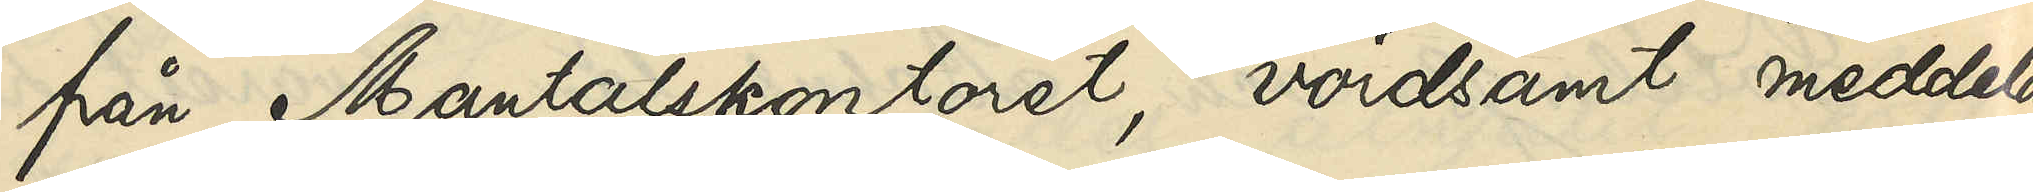från Mantalskontoret, vördsamt meddela,
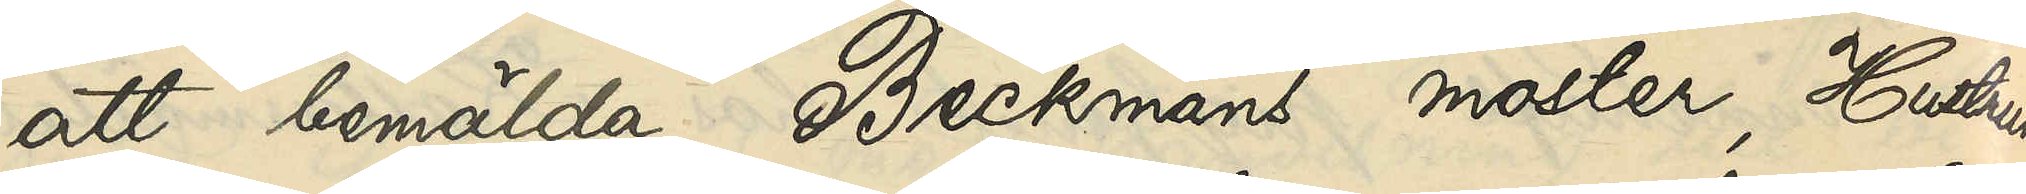att bemälda Beckmans moster, Hustrun
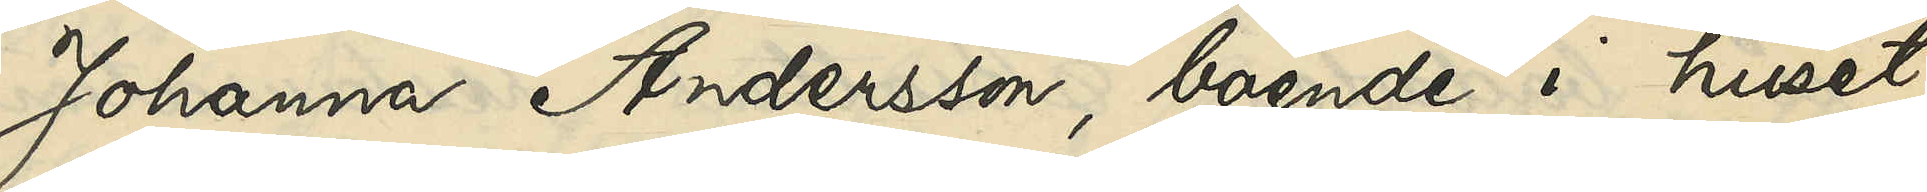Johanna Andersson, boende i huset
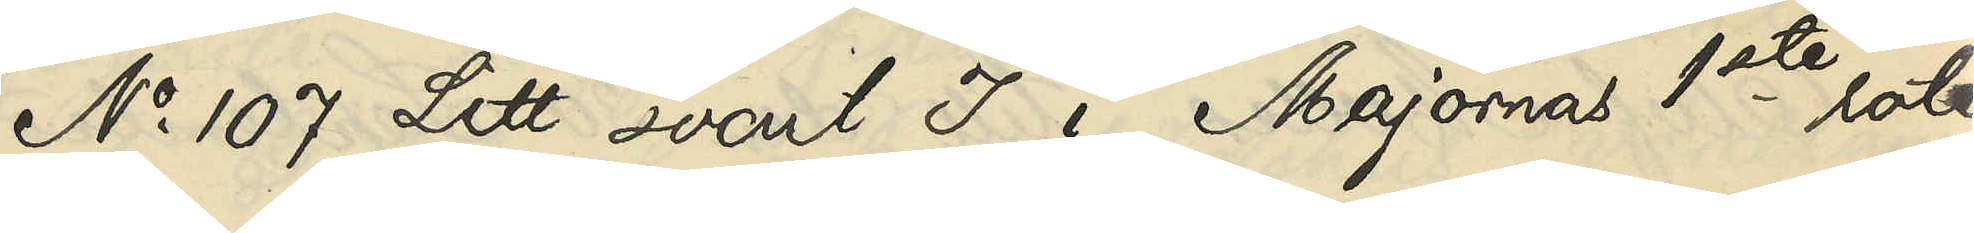No 107 Litt. svart I i Majornas 1ste rote,
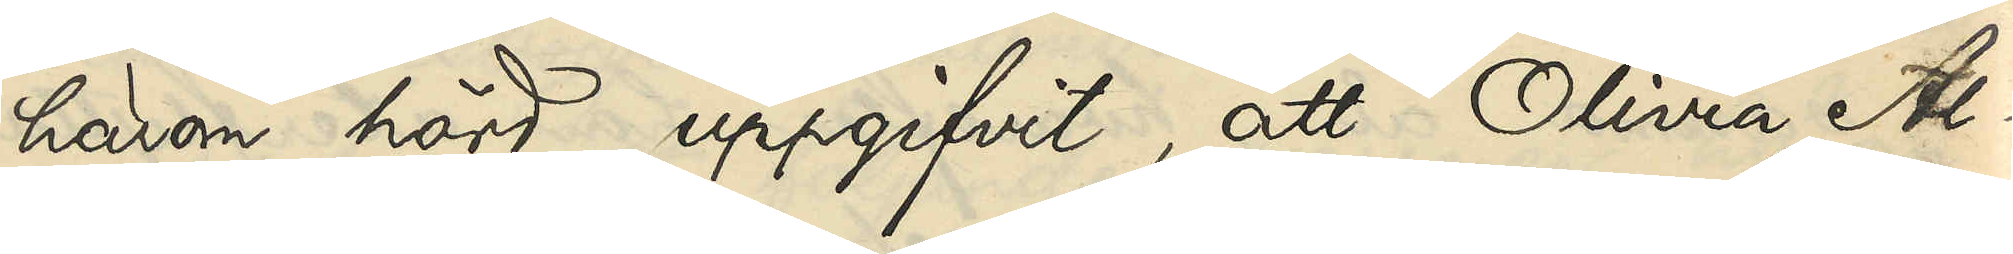härom hörd, uppgifvit, att Olivia Al¬
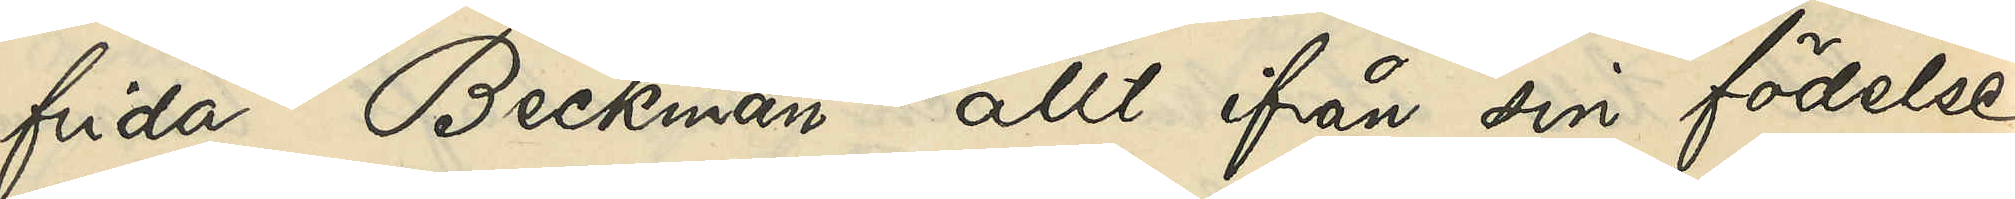frida Beckman allt från sin födelse
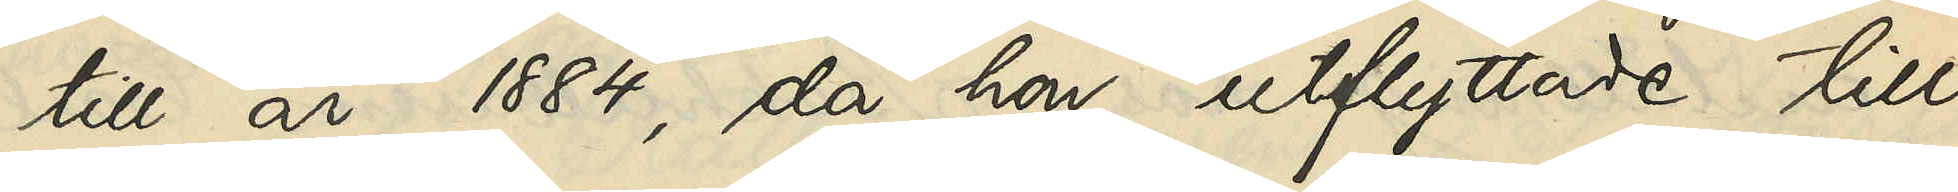till år 1884, då hon utflyttade till
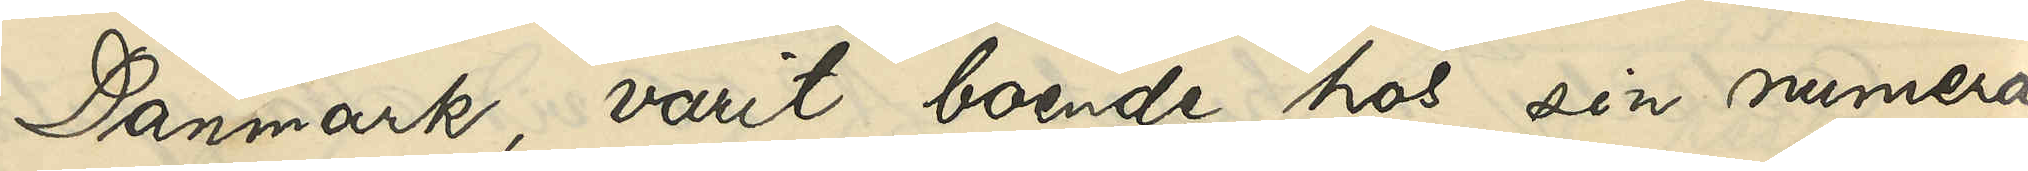Danmark, varit boende hos sin numera
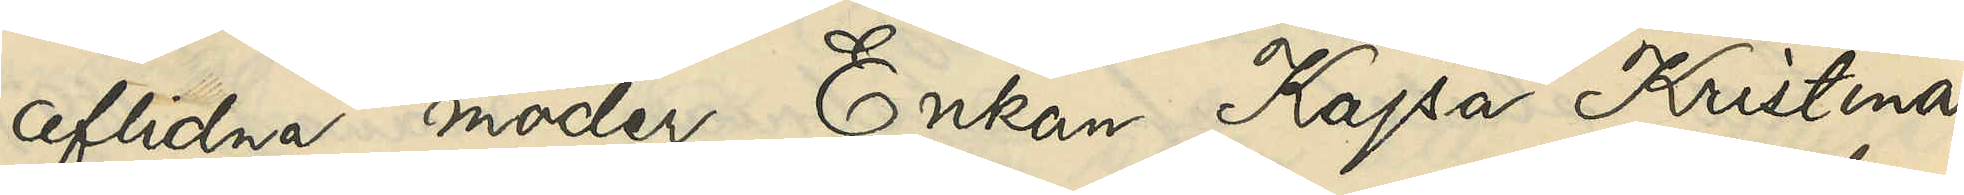aflidna moder Enkan Kajsa Kristina
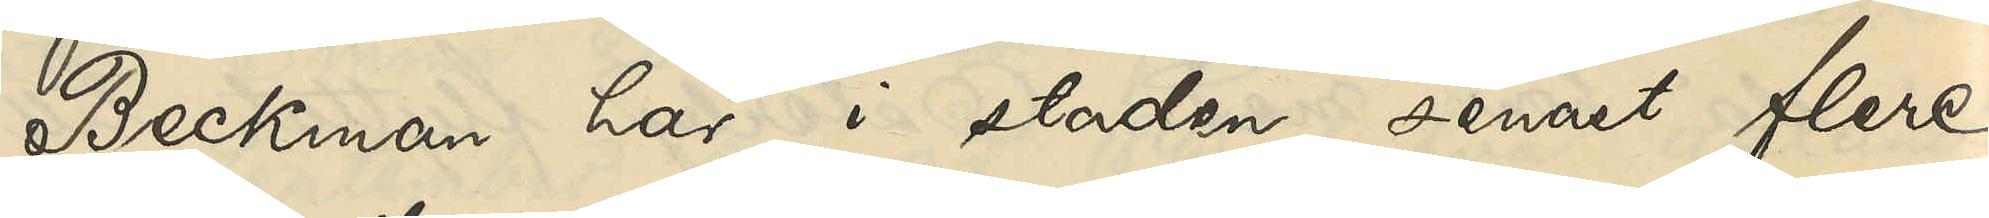Beckman här i staden, senast flere
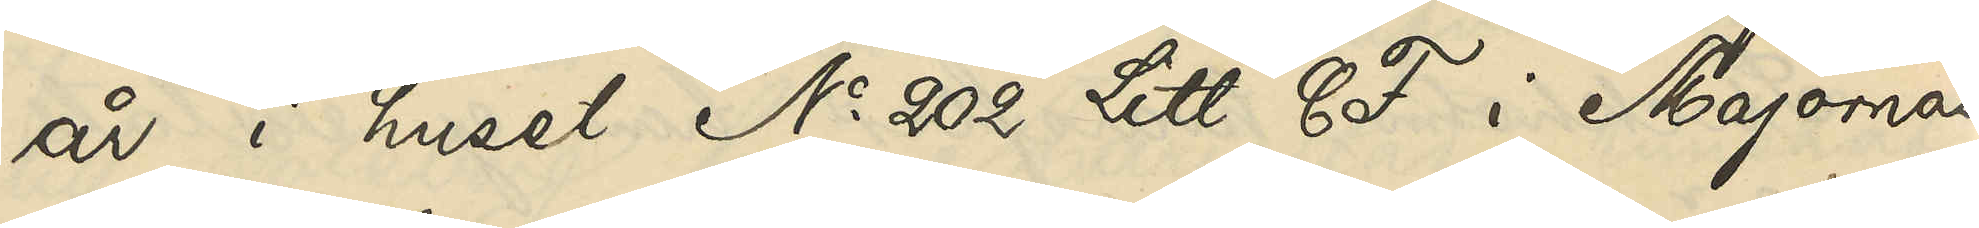år i huset No 202 Litt. C F i Majornas
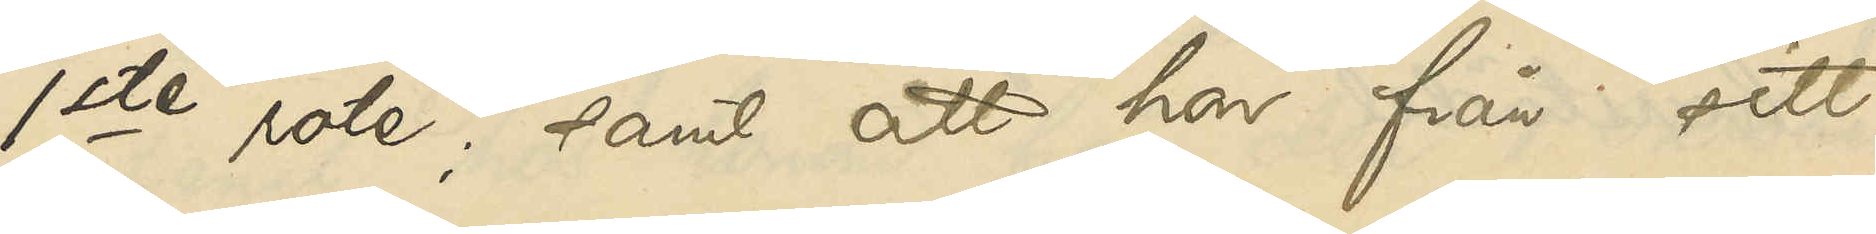1ste rote; samt att hon från sitt
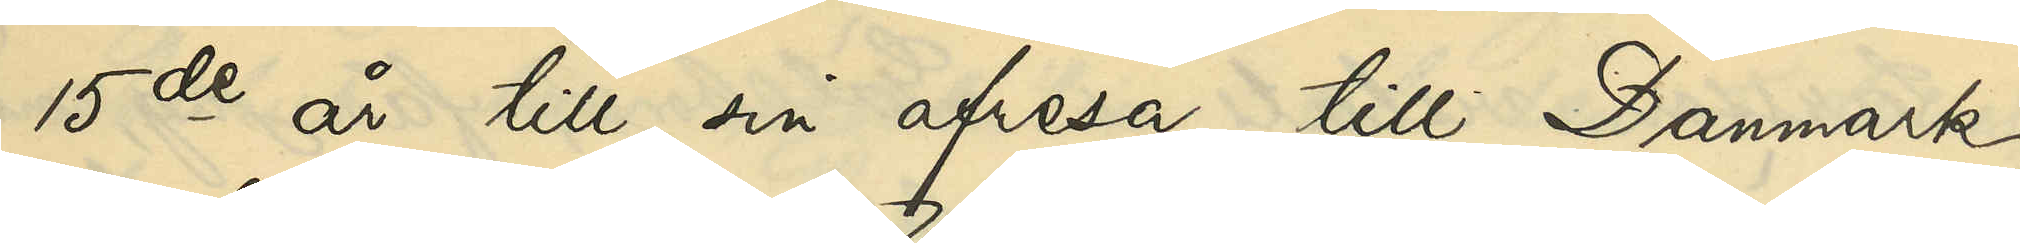15de år till sin afresa till Danmark
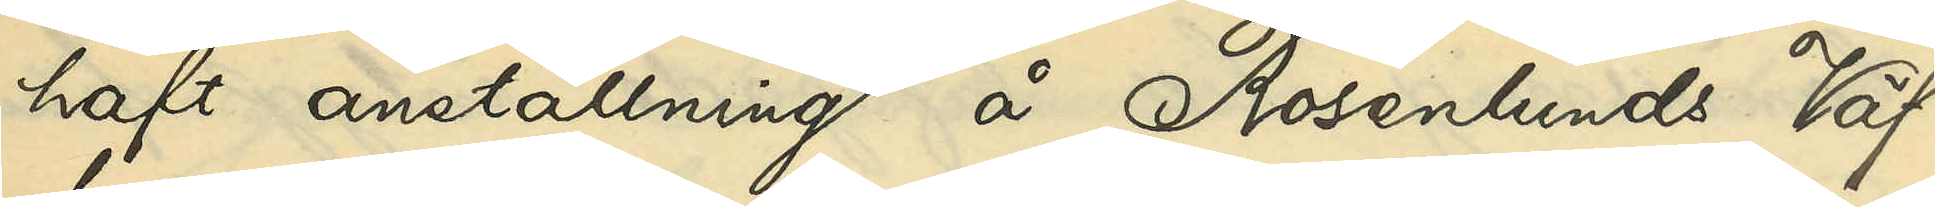haft anställning å Rosenlunds Väf¬
